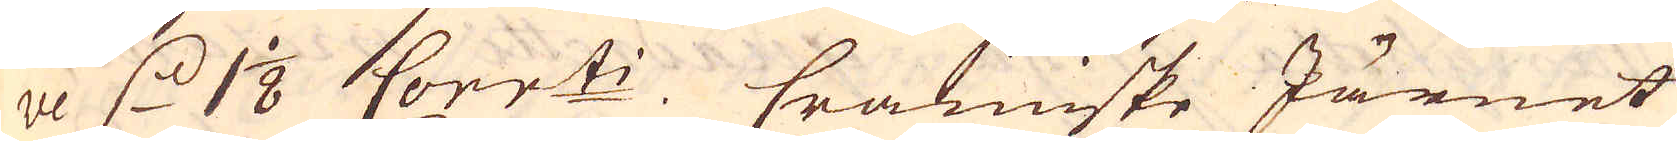ve d. 1 1/8 Corr:ti. Crainiske Järnet
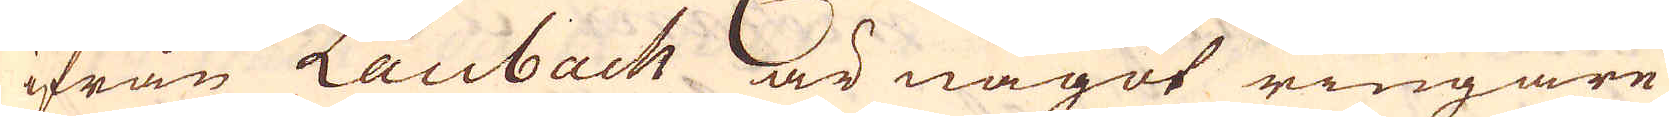ifrån Laubach är något ringare
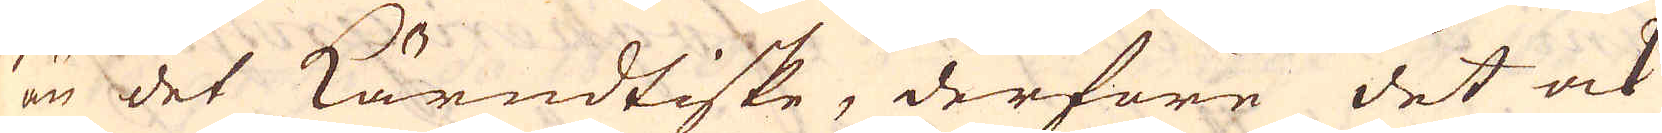än det Kärndtiske, derföre det ock
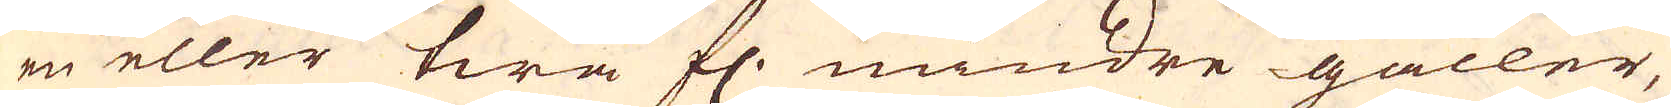en eller twå fl. mindre gäller,
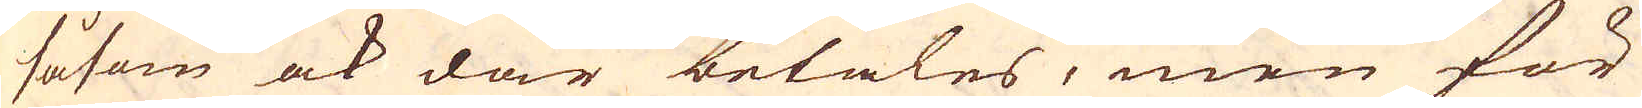såsom ock där betales, men för
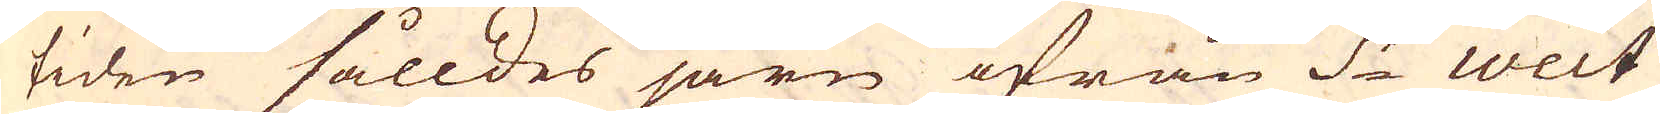tiden sålldes järn ifrån S:t weit
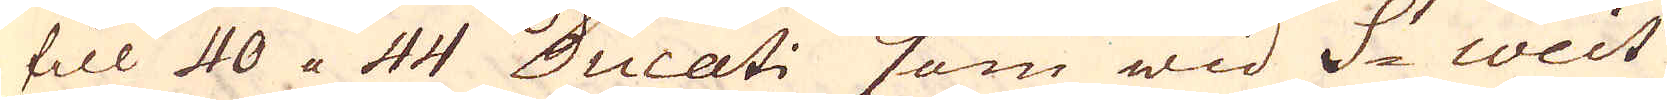till 40 a 44 Ducati som wid St weit
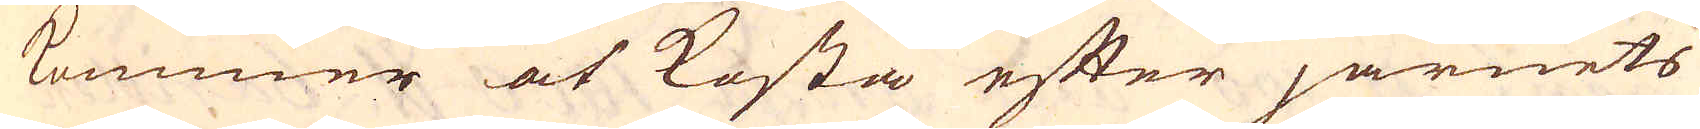kommer at kosta efter järnets
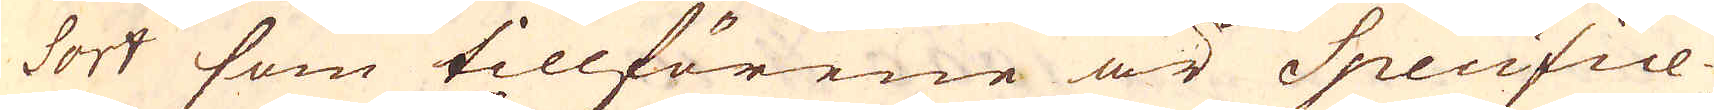sort som tillförene är Specifice-
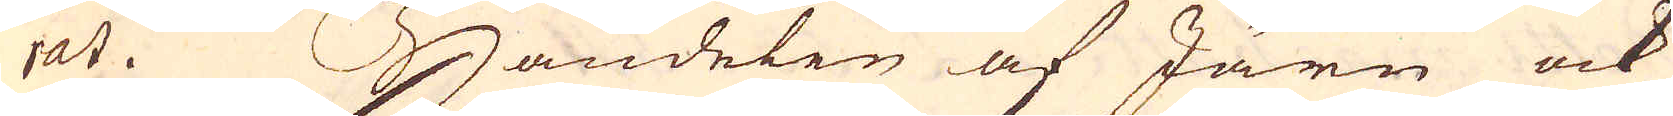rat. Handelen af Järn ock
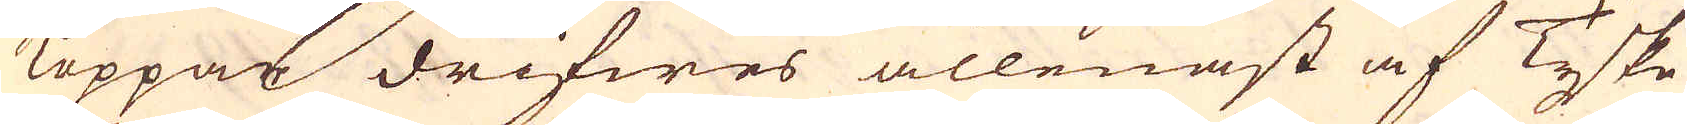Koppas drifwes allenast af Tyske
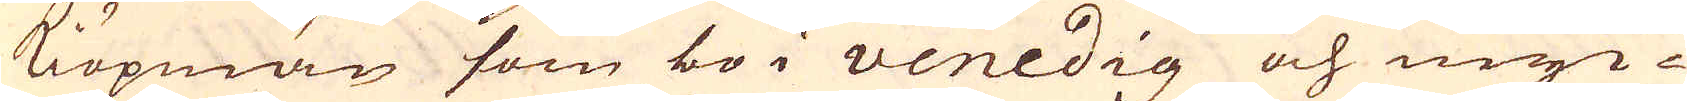Kiöpmän som bo i Venedig och myc-
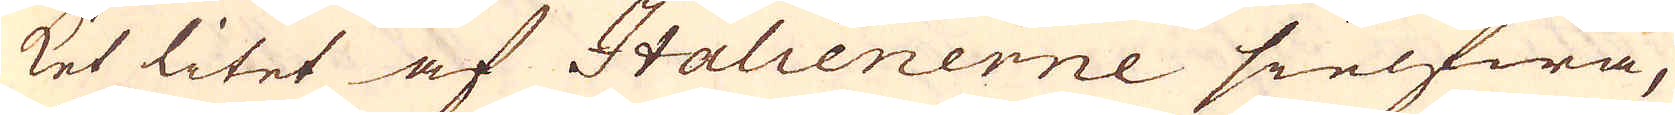ket litet af Italienerne sielfwa,
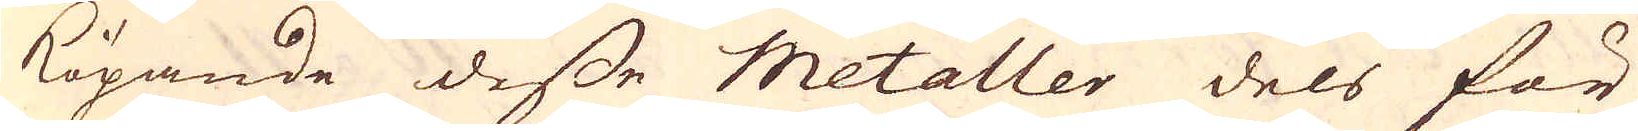köpande desse metaller dels för
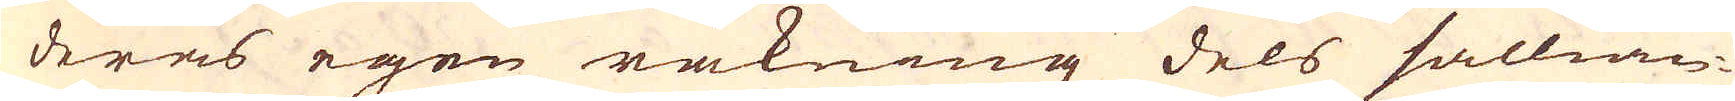deras egen räkning dels sällian-
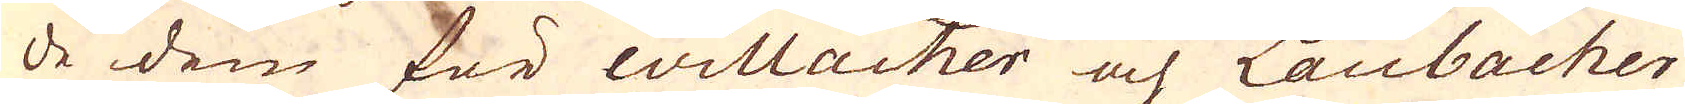de dem för willacher och Laubacher
